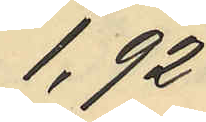1,92
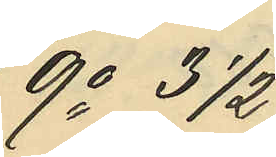9o 3 1/2
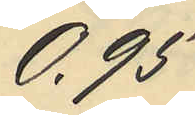0,95
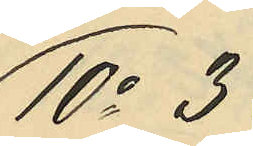10o 3
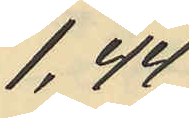1,44
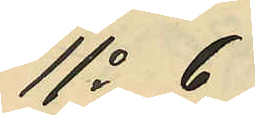11o 6
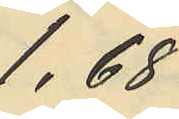1,68
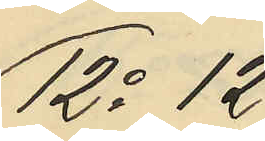12o 12
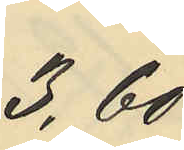3,60
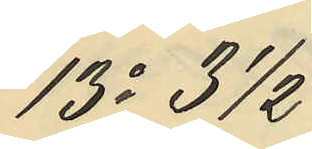13o 3 1/2
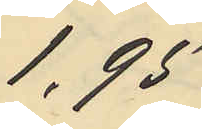1,95
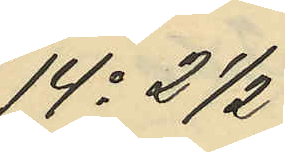14o 2 1/2
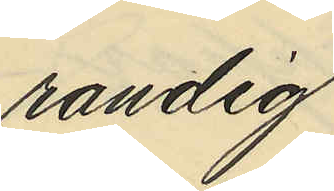randig
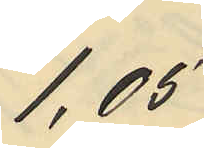1,05
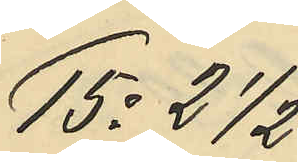15o 2 1/2
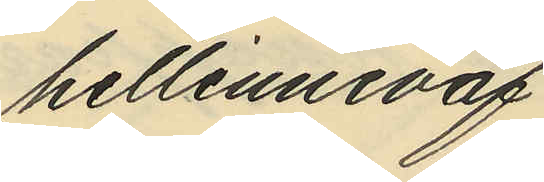hellinneväf
